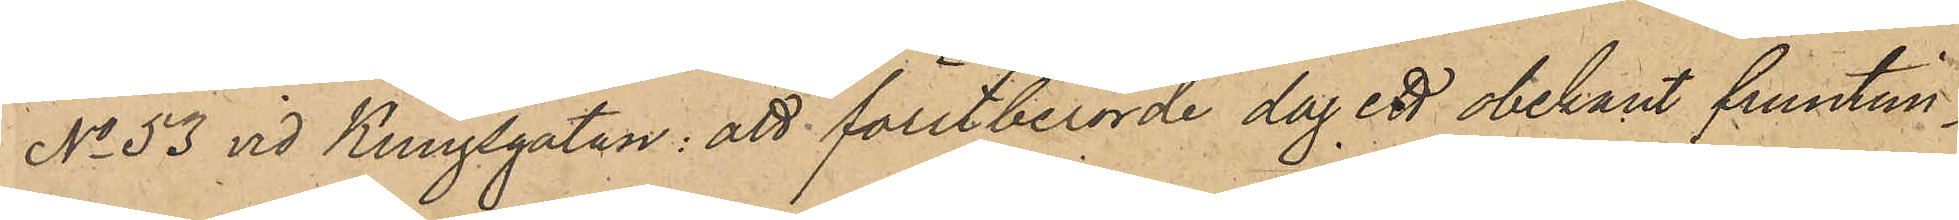No 53 vid Kungsgatan: att förutberörde dag ett obekant fruntim¬
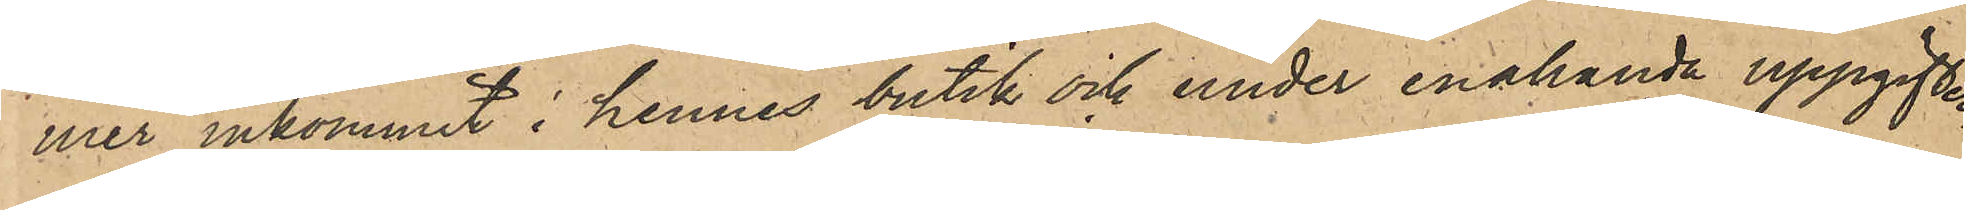mer inkommit i hennes butik och under enahanda uppgifter
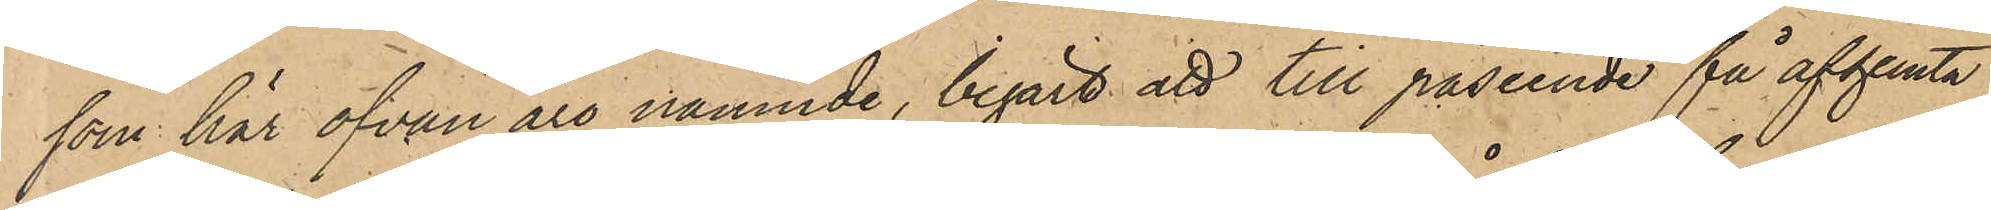som här ofvan äro nämnde, begärt att till påseende få afhemta
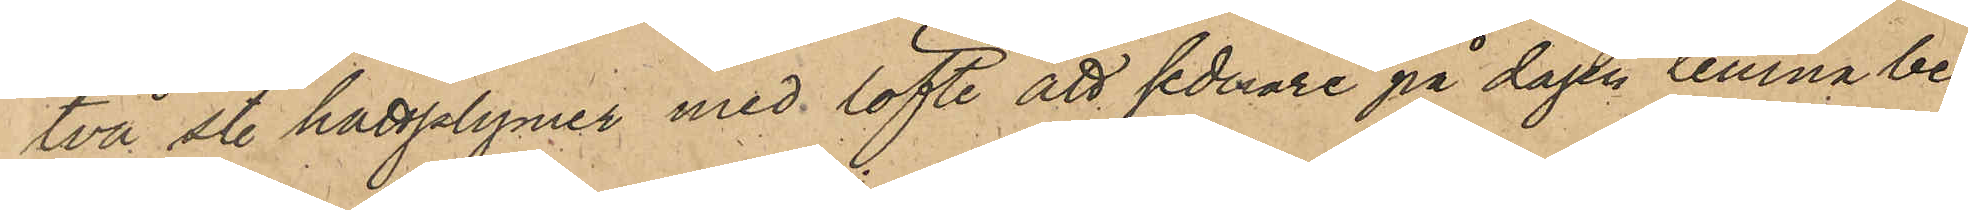två st. hattplymer med löfte att sednare på dagen lämna be¬
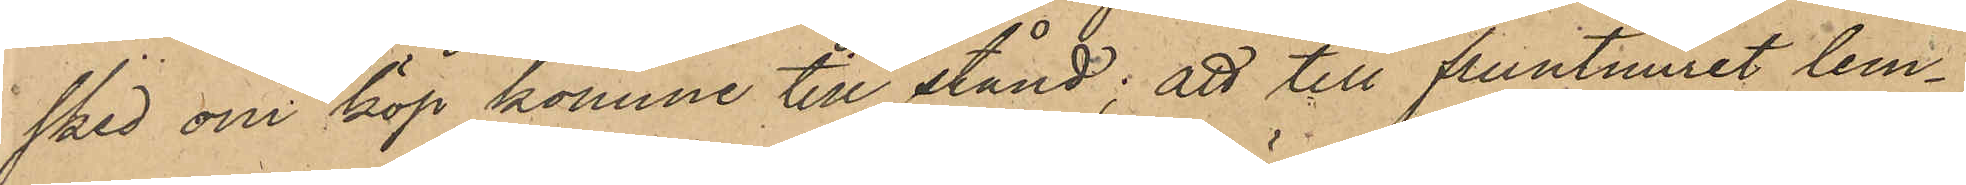sked om köp komme till stånd; att till fruntimret lem¬
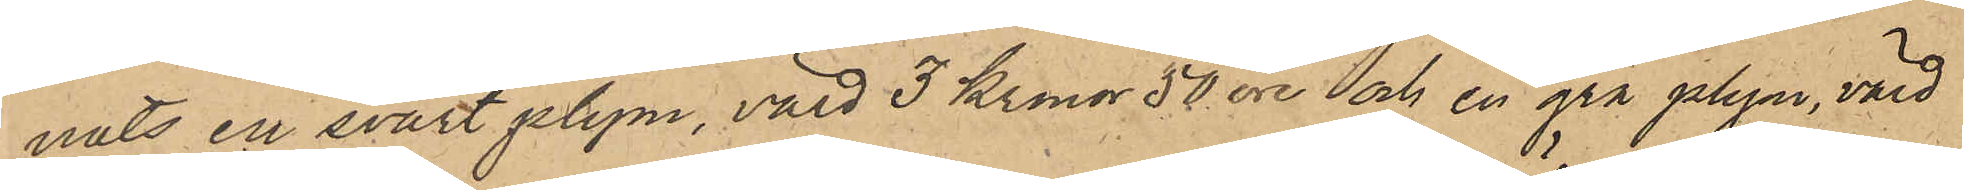nats en svart plym, värd 3 kronor 50 öre och en grå plym, värd
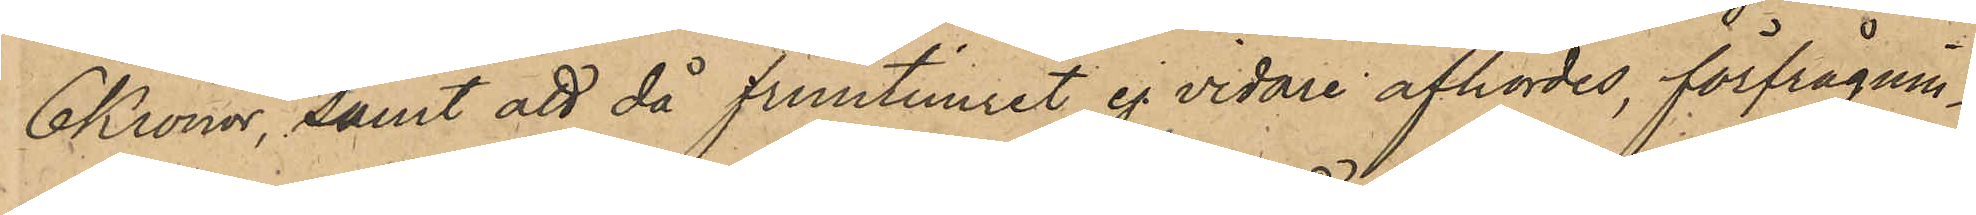6 Kronor, samt att då fruntimret ej vidare afhördes, förfrågnin¬
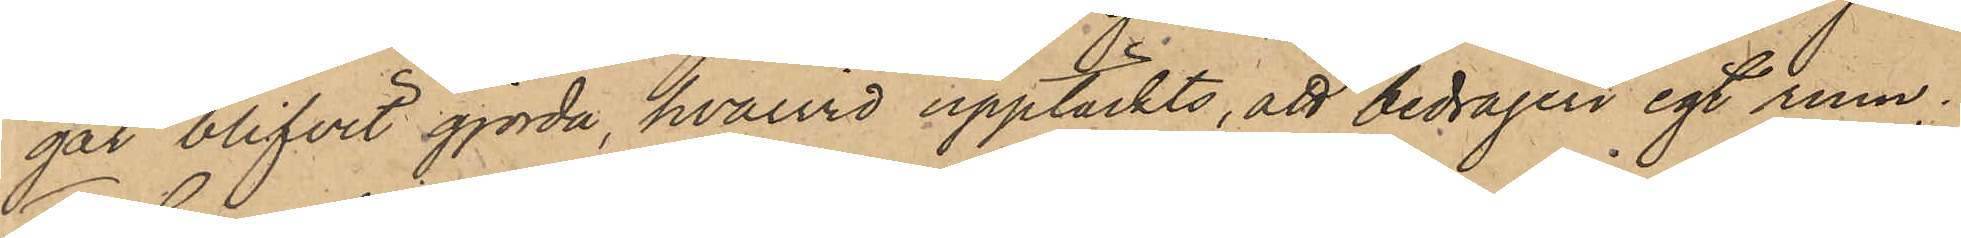gar blifvit gjorda, hvarvid upptäckts, att bedrägeri egt rum.
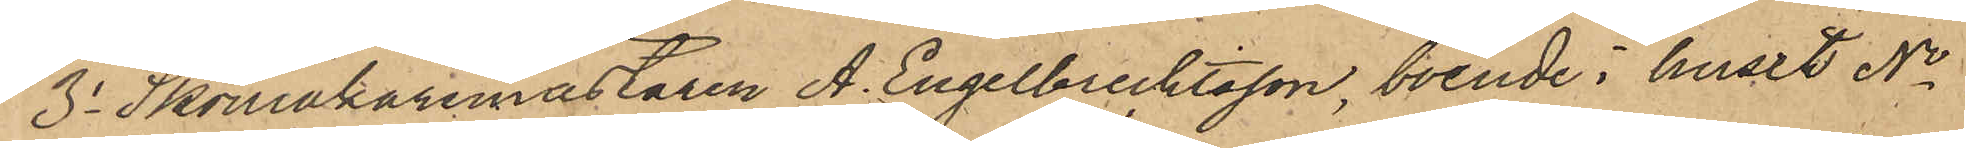3o Skomakaremästeren A. Engelbrecktsson, boende i huset No
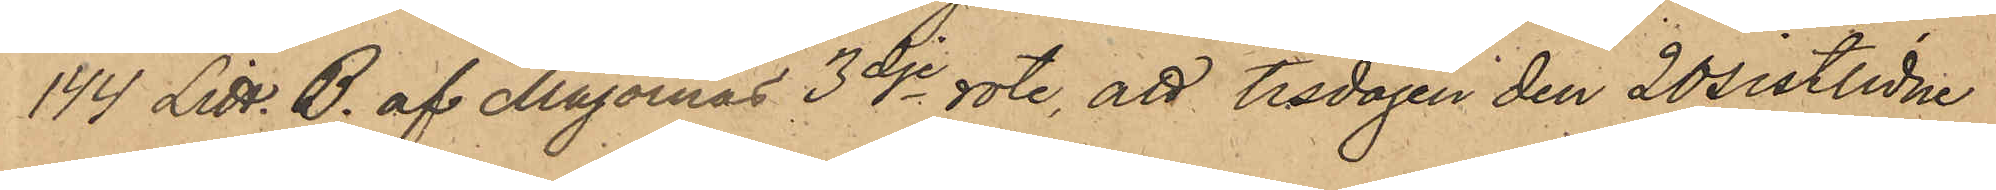144 Litt. B af Majornas 3dje rote, att tisdagen den 20 sistlidne
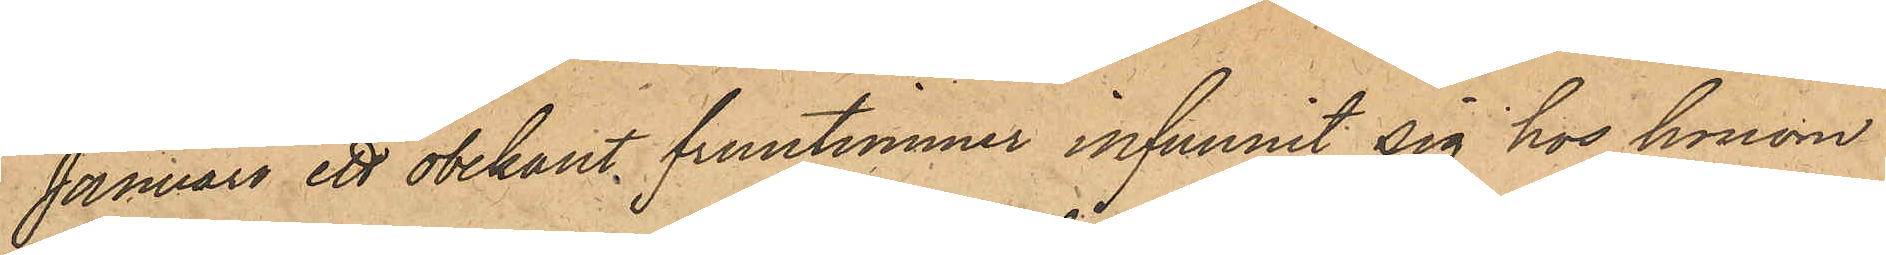Januari ett obekant fruntimmer infunnit sig hos honom
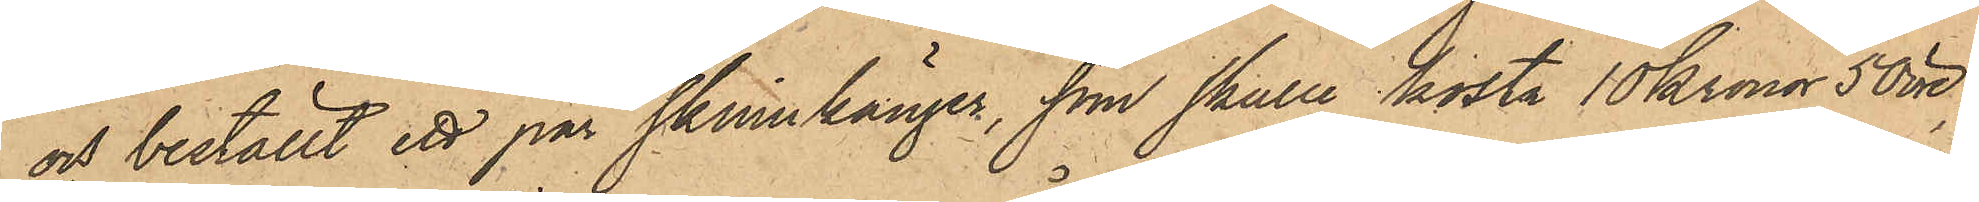och beställt ett par skinnkänger, som skulle kosta 10 kronor 50 öre,
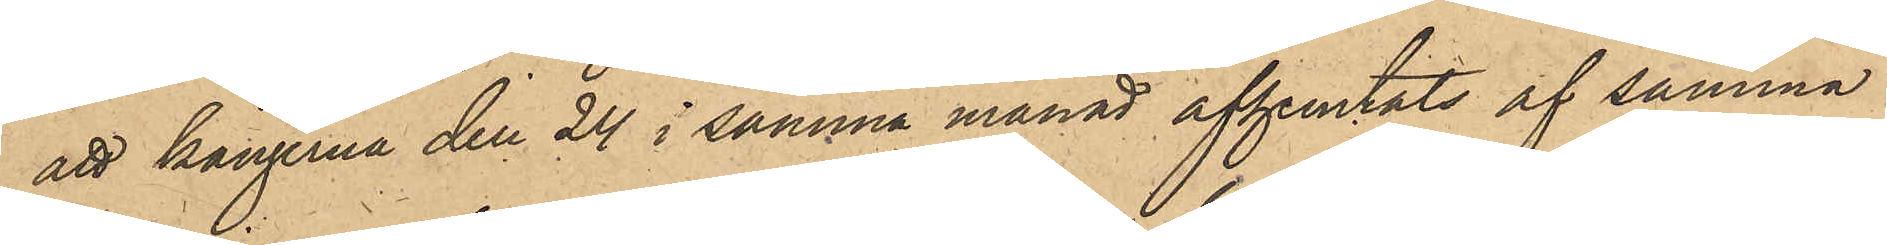och kängerna den 24 i samma månad afhemtats af samma
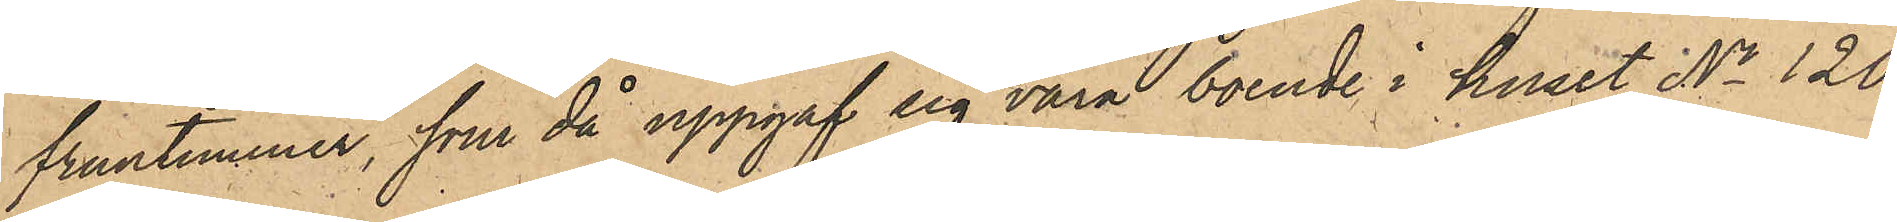fruntimmer, som då uppgaf sig vara boende i huset No 120
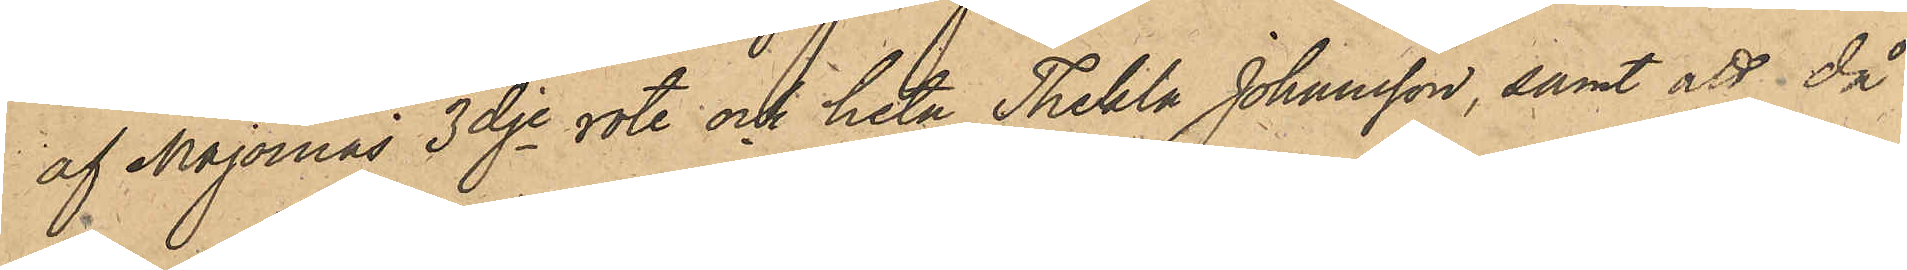af Majornas 3dje rote och heta Thekla Johansson, samt att då
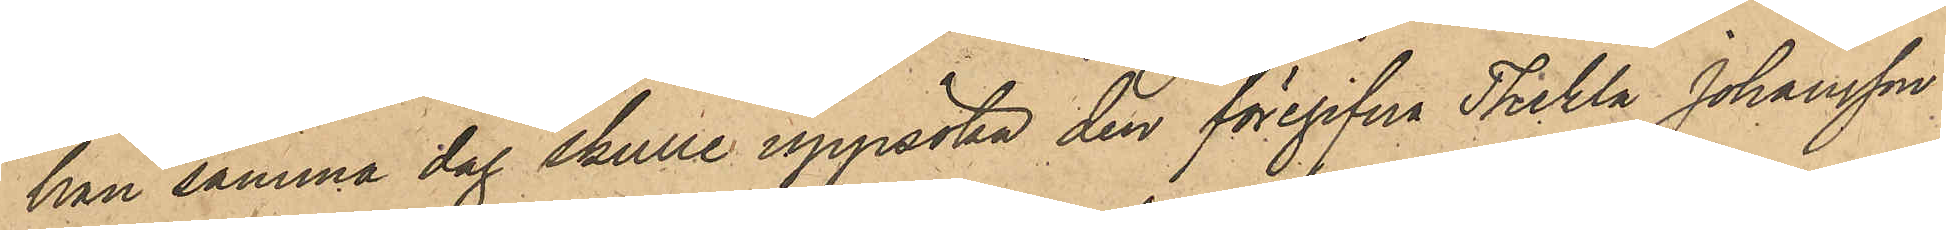han samma dag skulle uppsöka den föregifna Thekla Johansson
